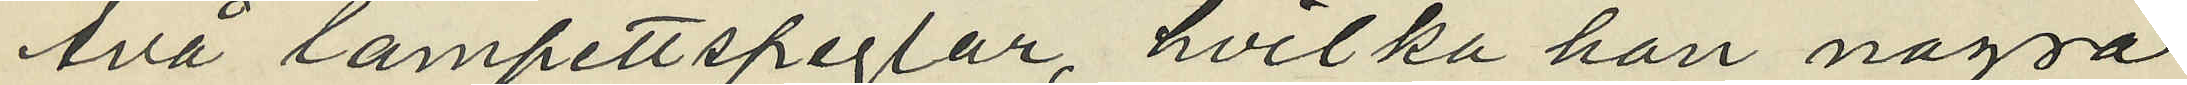två lampettspeglar, hvilka han några
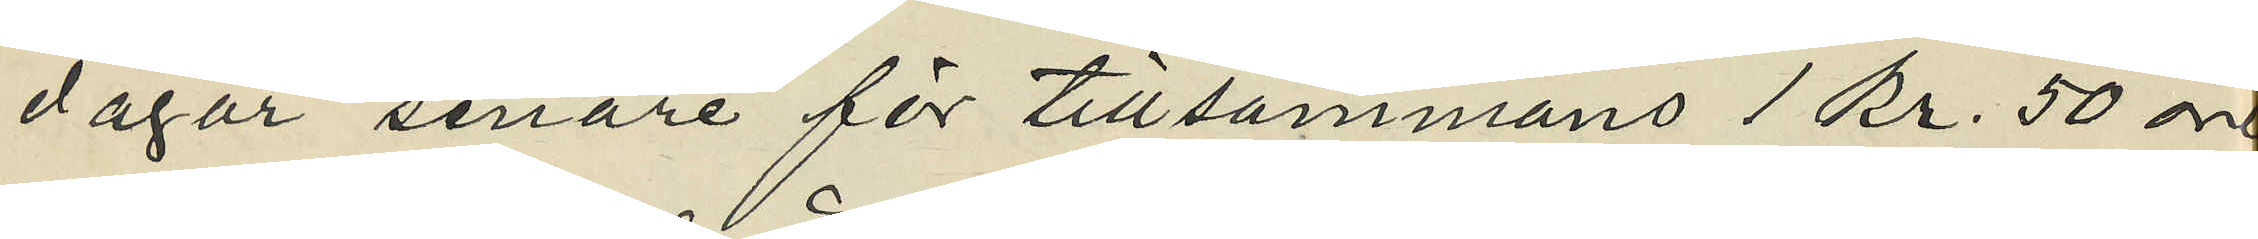dagar senare för tillsammans 1 kr. 50 öre
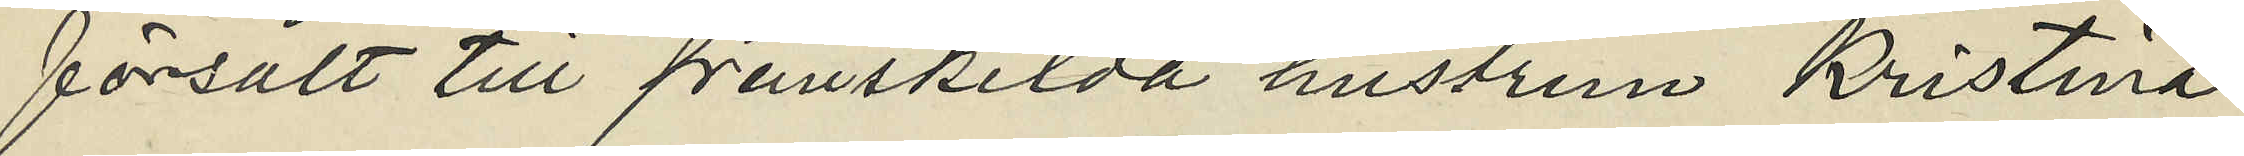försålt till frånskilda hustrun Kristina
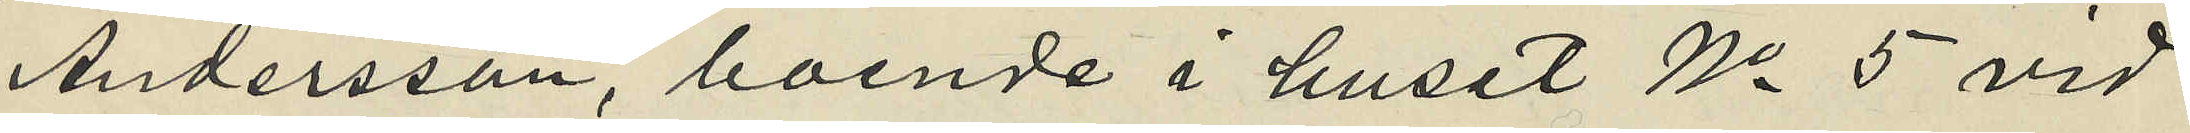Andersson, boende i huset No 5 vid
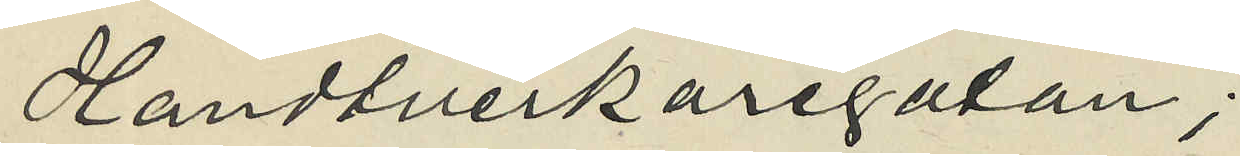Handtverkaregatan;
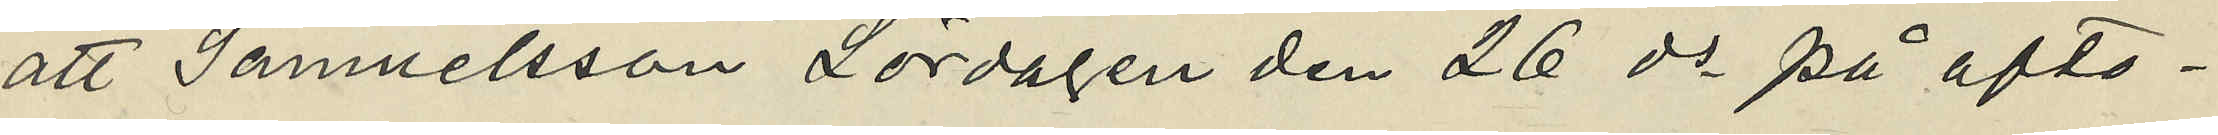att Samuelsson Lördagen den 26 ds på afto¬
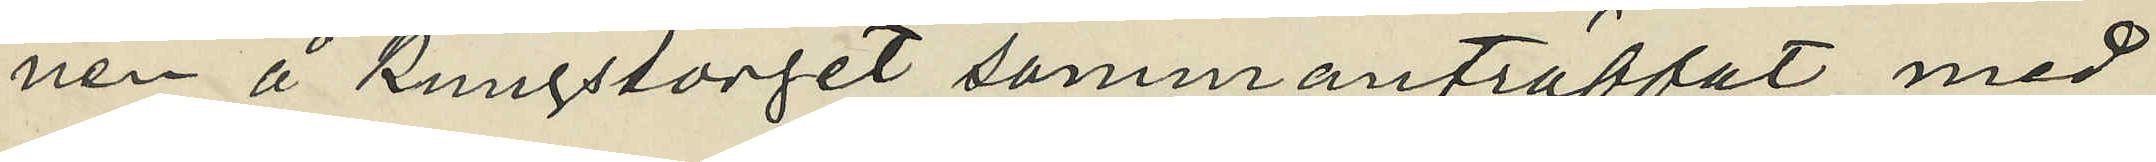nen å Kungstorget sammanträffat med
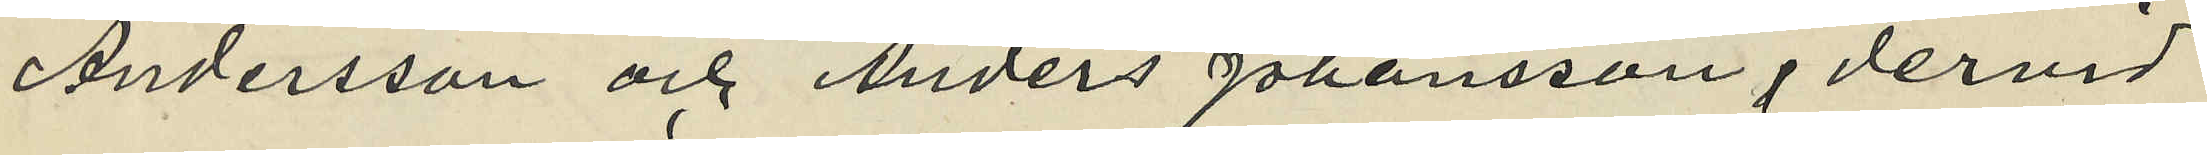Andersson och Anders Johansson, dervid
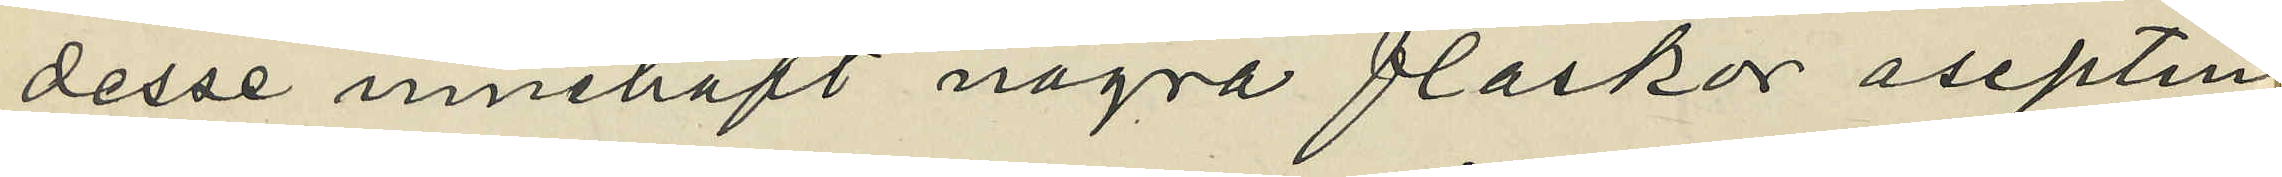desse innehaft några flaskor aseptin,
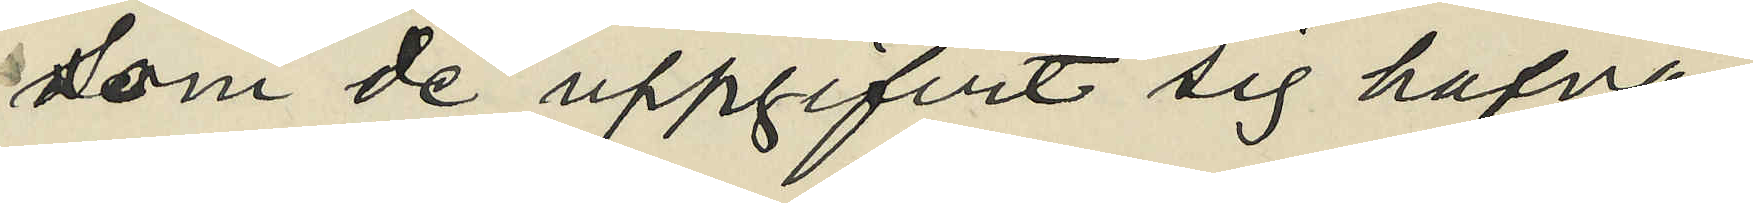som de uppgifvit sig hafva
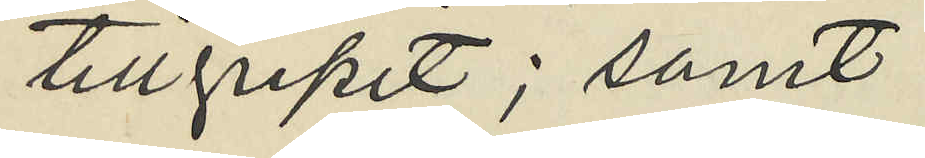tillgripit; samt
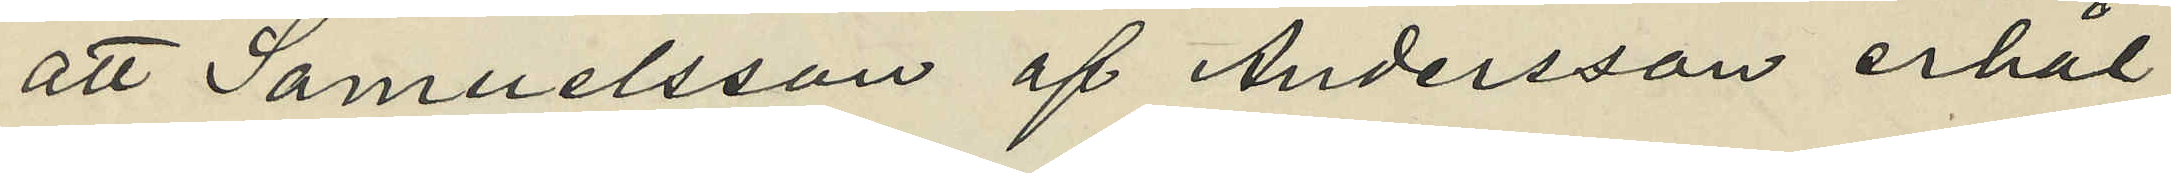att Samuelsson af Andersson erhål¬
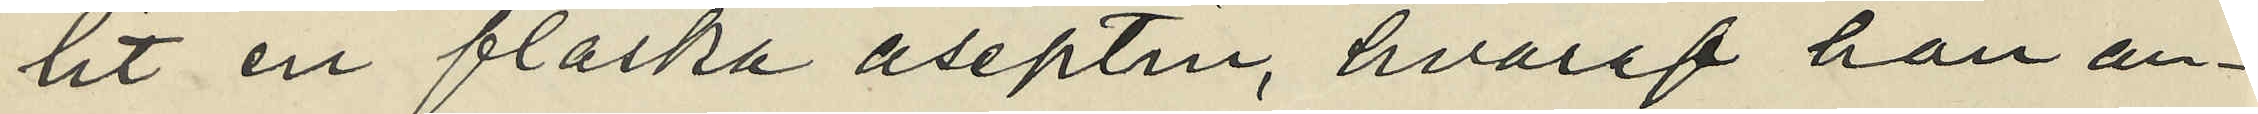lit en flaska aseptin, hvaraf han an¬
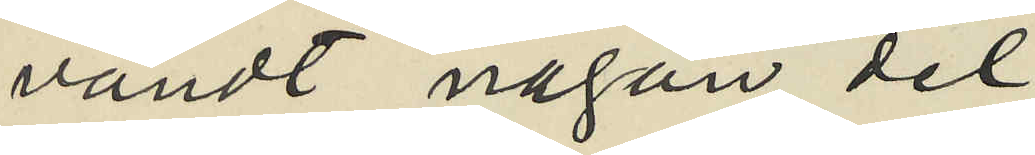vändt någon del
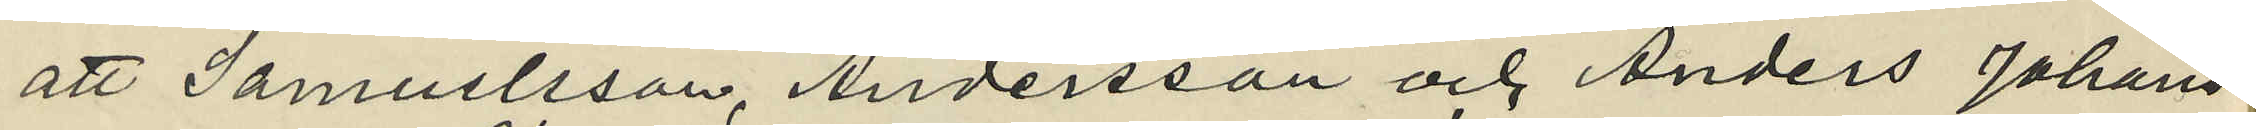att Samuelsson, Andersson och Anders Johans¬
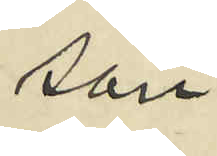son
